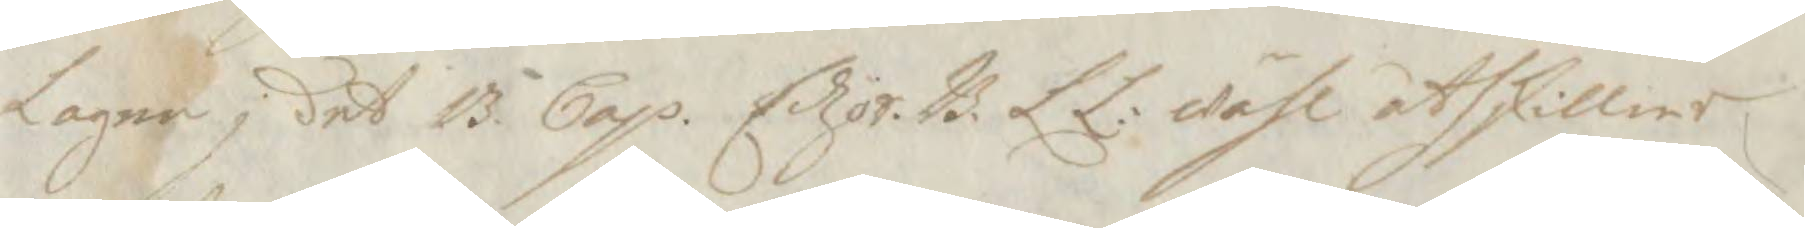Lagen i det 13 Cap. Edzör. B. L L: wähl åthskillier
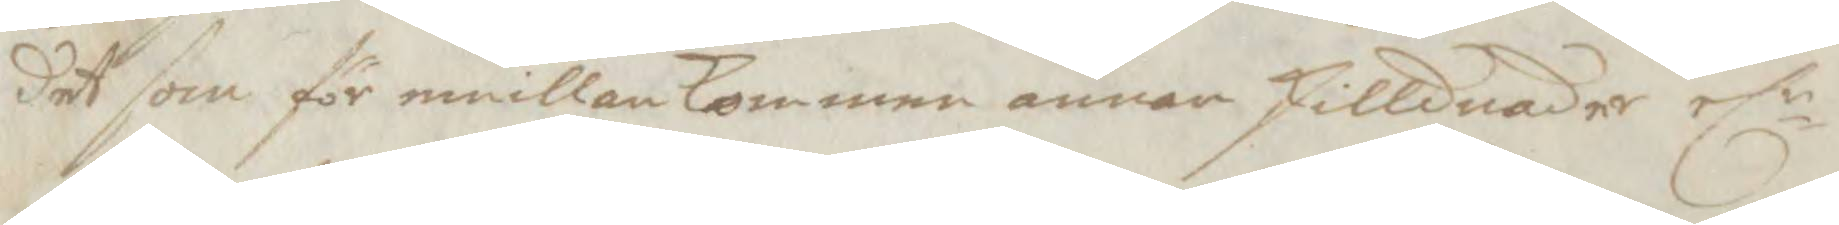det som för emillan kommer annor skillnader elr
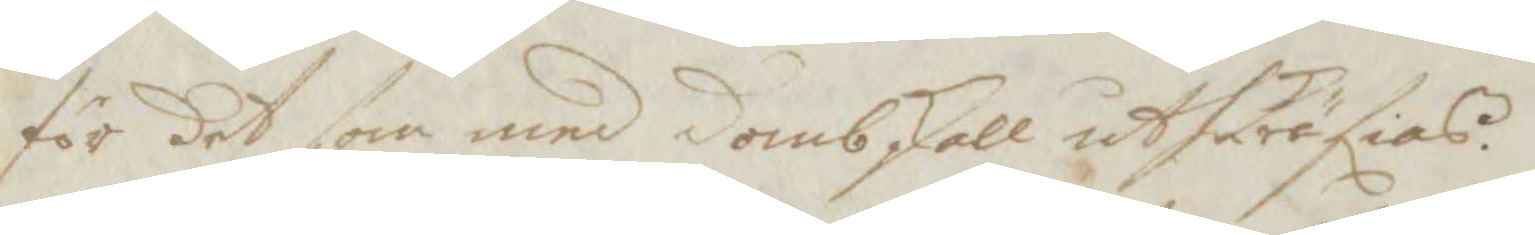för det som med dombskell uthkräfias.
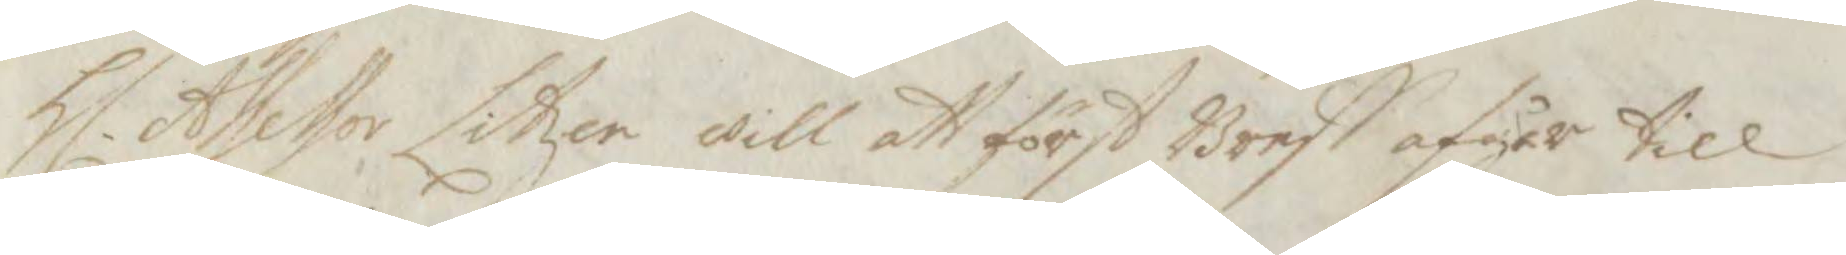Hl. Assessor Litzer will att först Breff afgår till
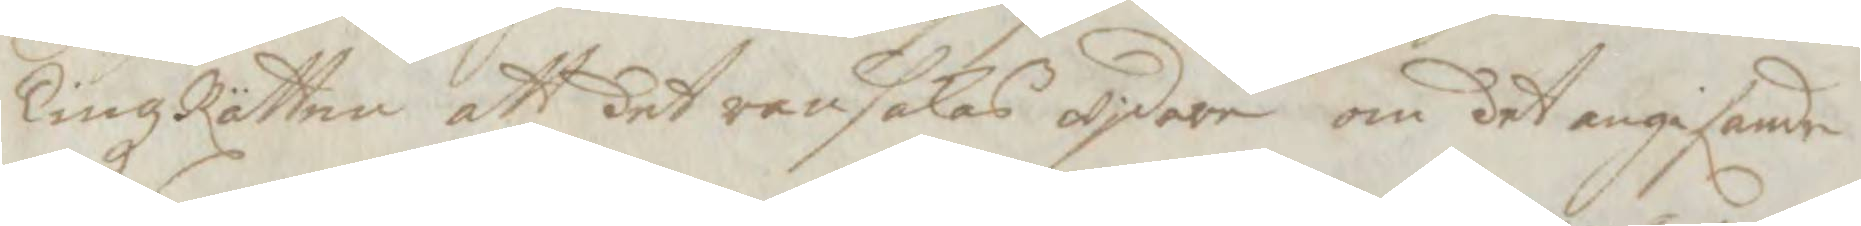TingzRätten att det ransakas wjdare om det angifande
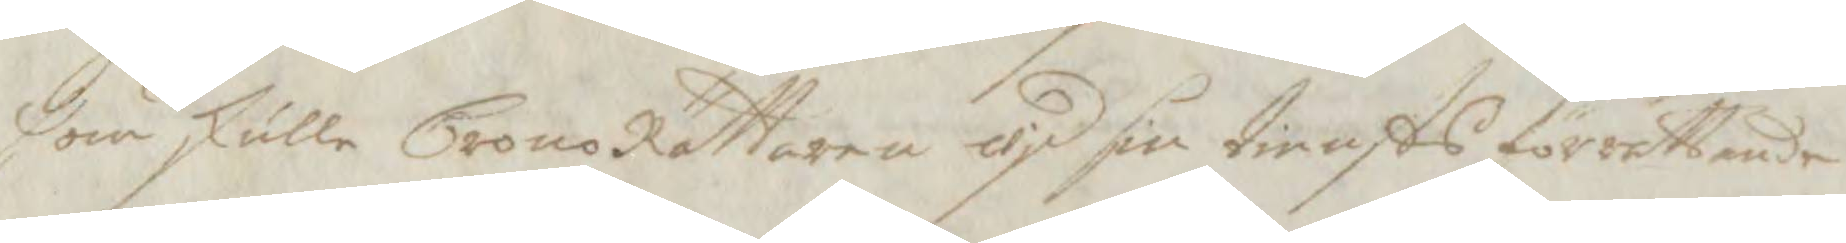som skulle CronoRättaren wid sin tiensts förrättande
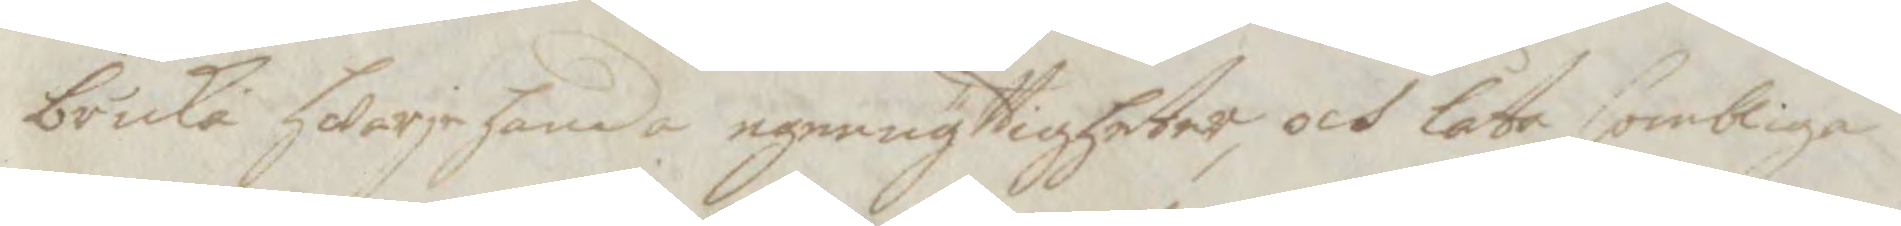bruka hwarjehanda egennyttigheter, och låta sombliga
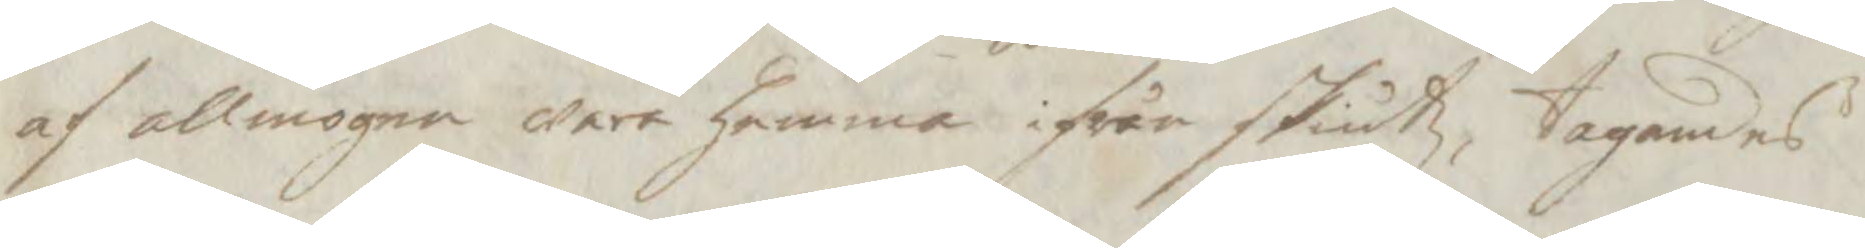af allmogen wara hemma ifrån skiutz, tagandes
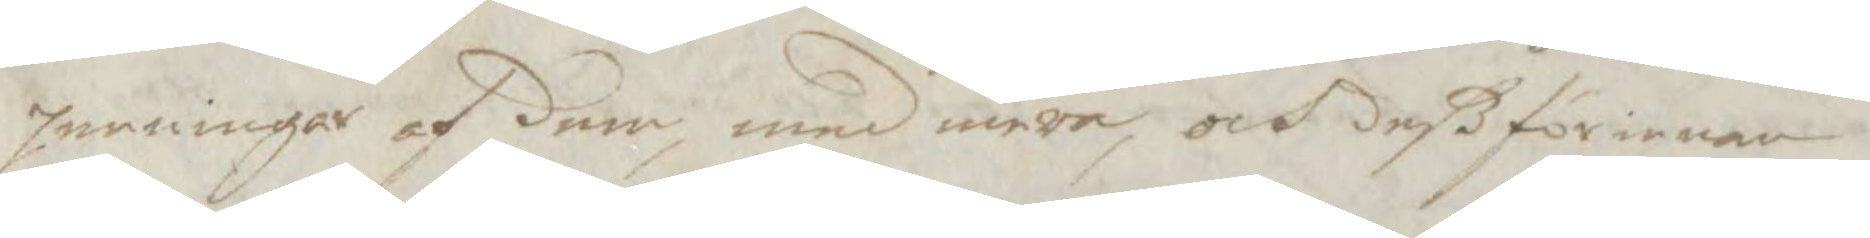penningar af dem, med mera, och deßförinnan
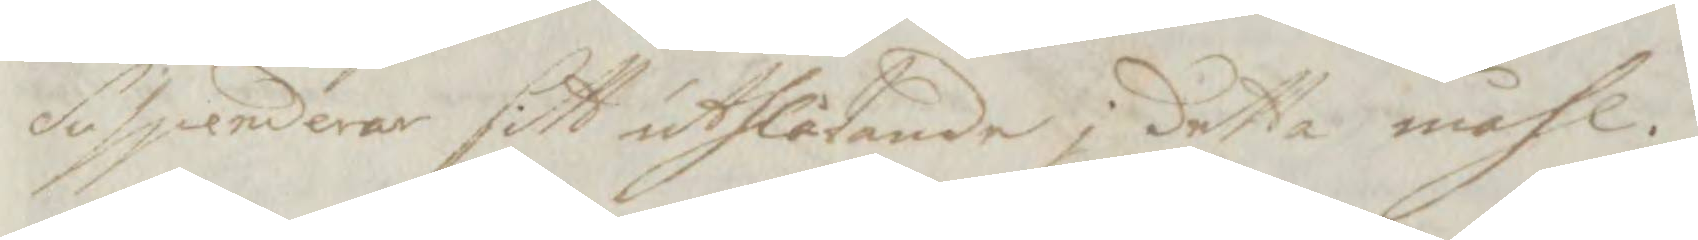suspenderas sitt uthlåtande j detta måhl.
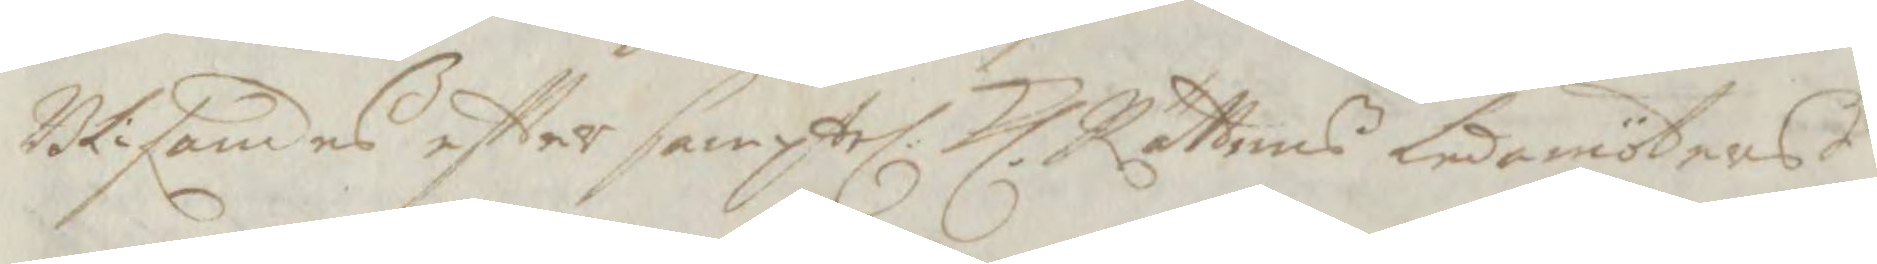Blifandes eftter samptel. Kl. Rättens ledamöters
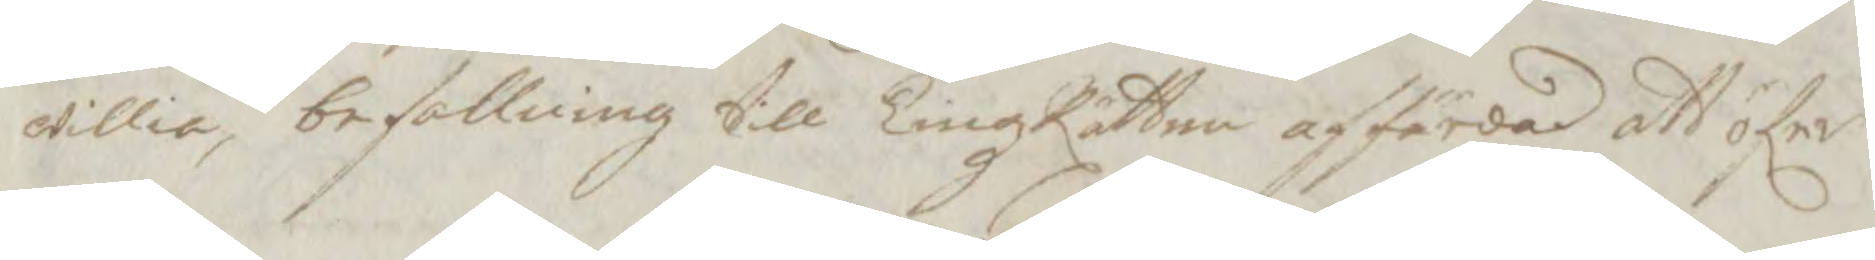willia, befallning till TingzRätten affärdad att öfer
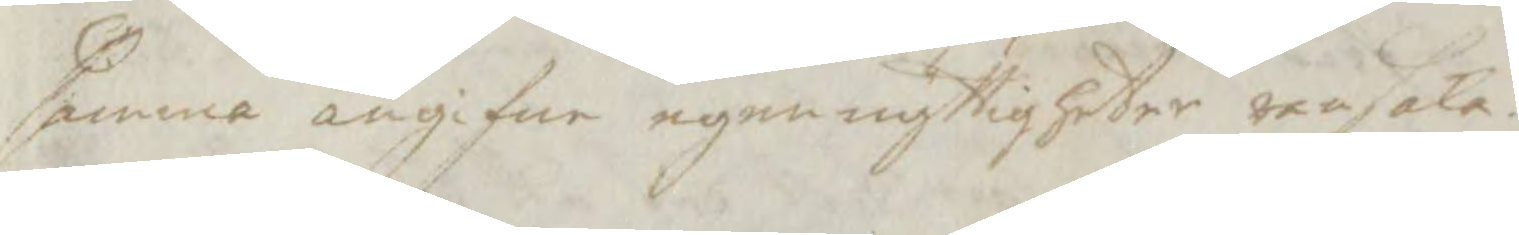samma angifne egennyttigheter ransaka.
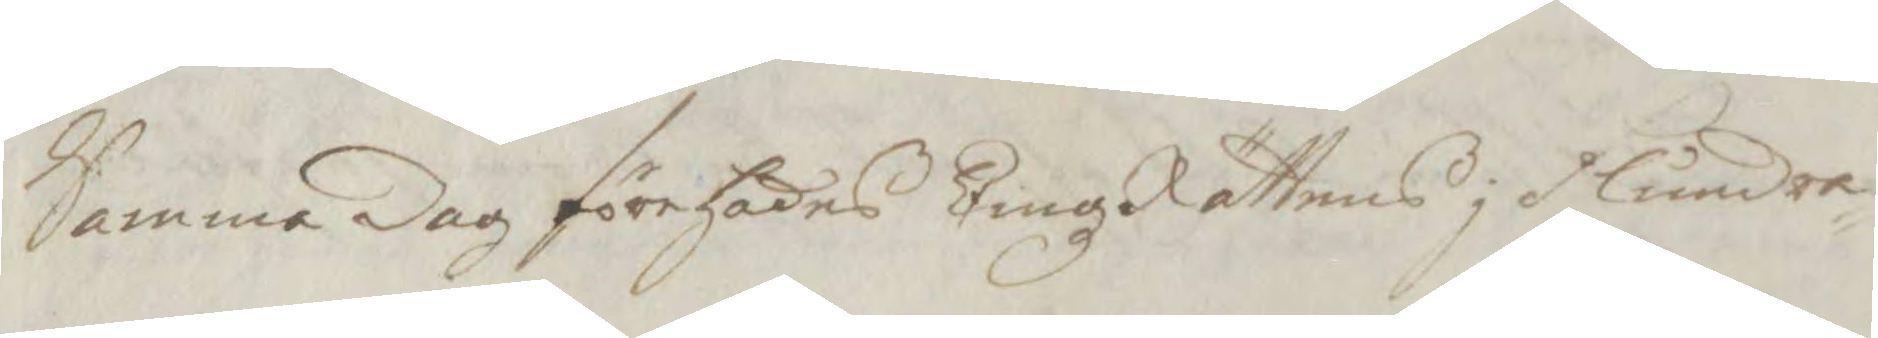Samma dag, förehades TingzRättens j Flundra¬
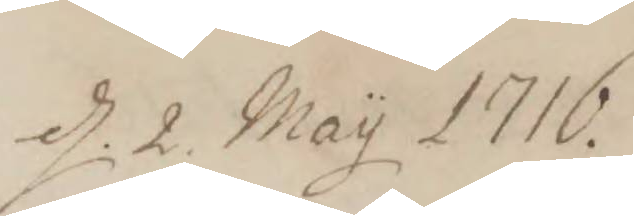d. 2. May 1716.
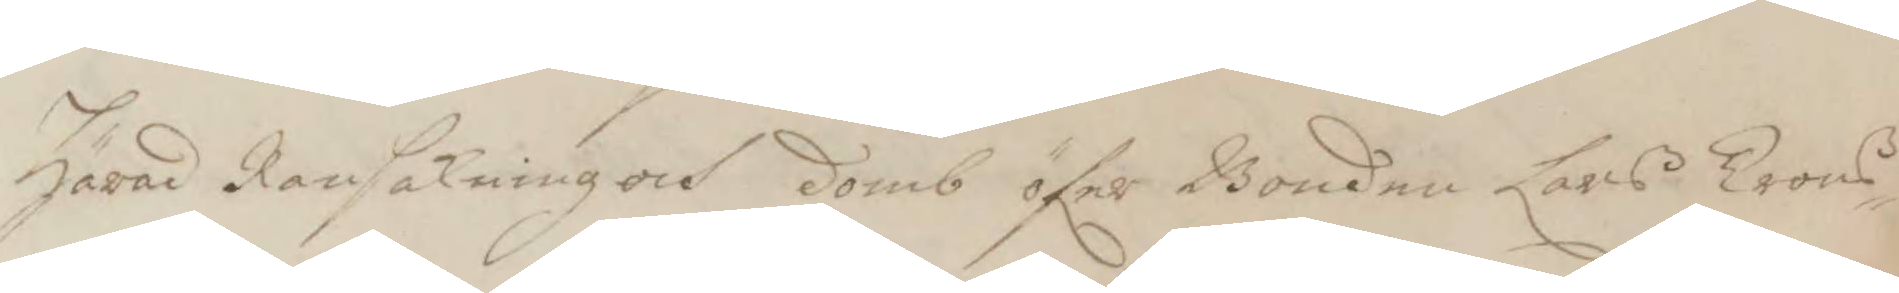Härad Ransakning och domb öfer Bonden Lars Trons¬
